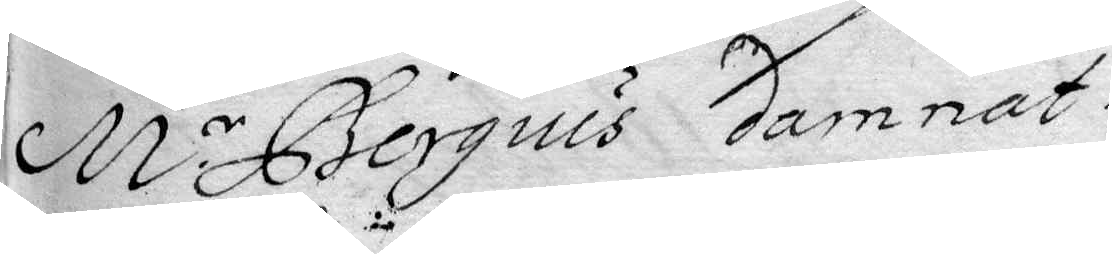M.r Bergius damnat.
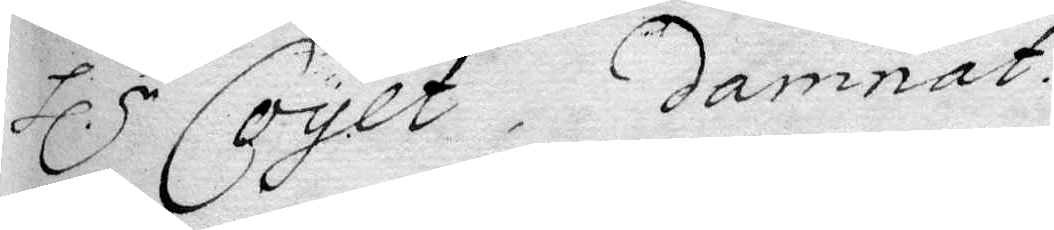Hl.r Coyet, damnat.
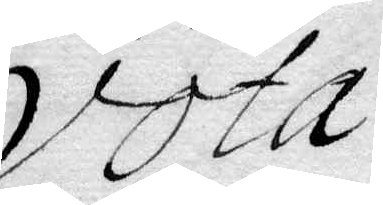vota
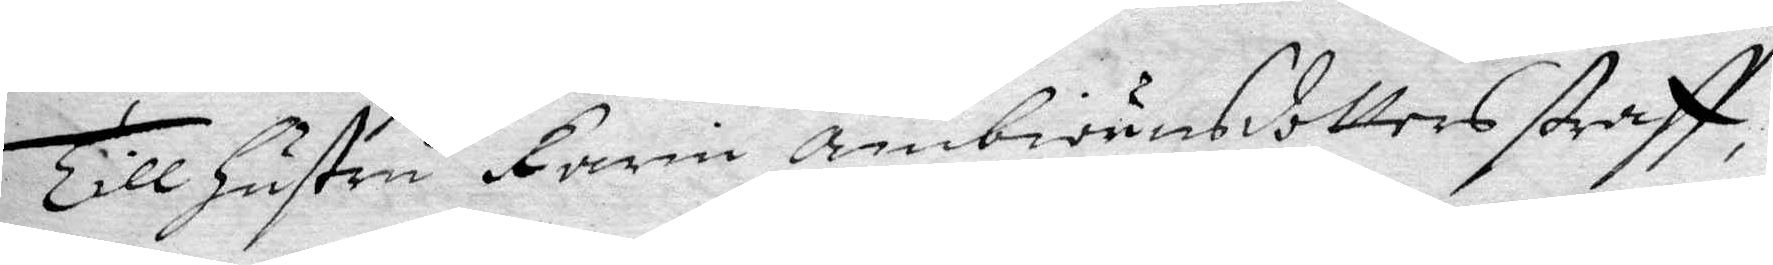Till Hustru Karin ambiörnsdotters straff,
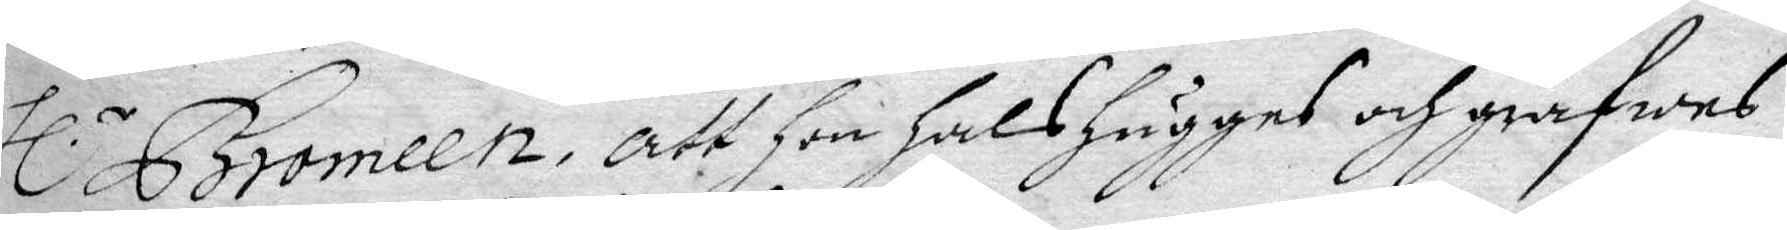Hl.r Bromeen, att Hon HalsHuggas och grafwas
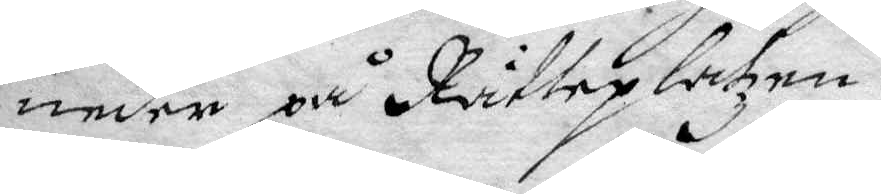neder på Rätteplatzen.
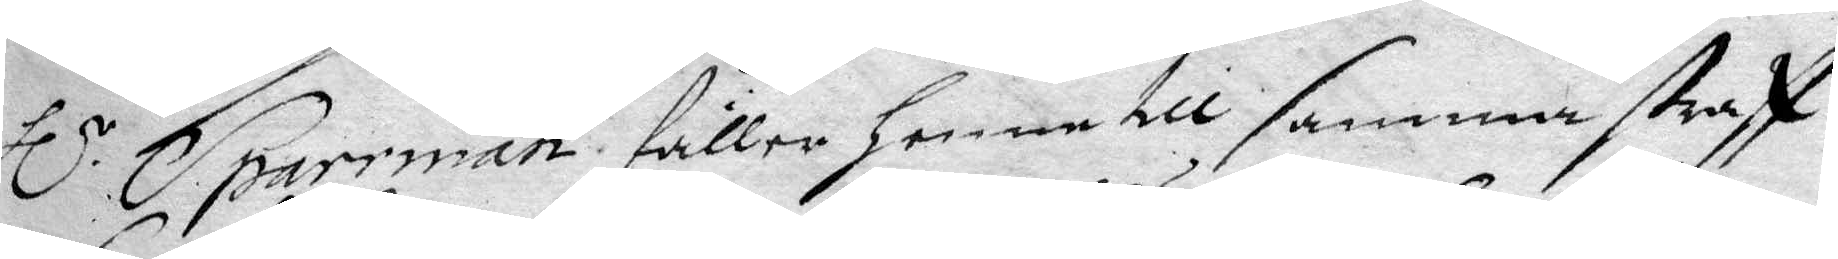Hl.r Sparrman fäller Henne till samma straff
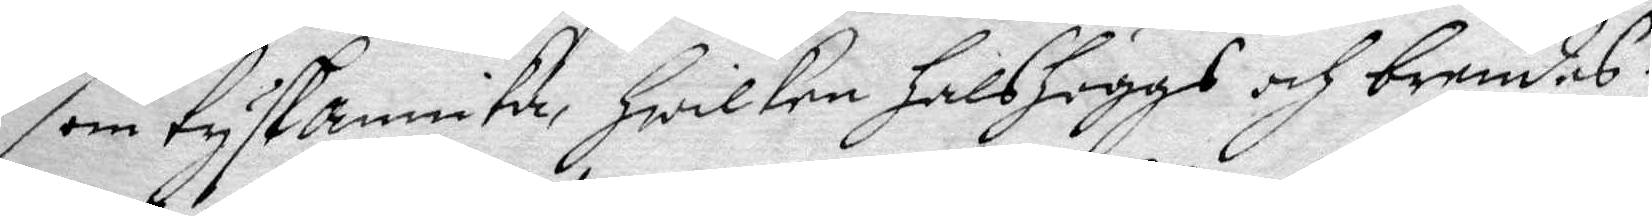som tyskannika Hwilken Halshuggas och brendes.
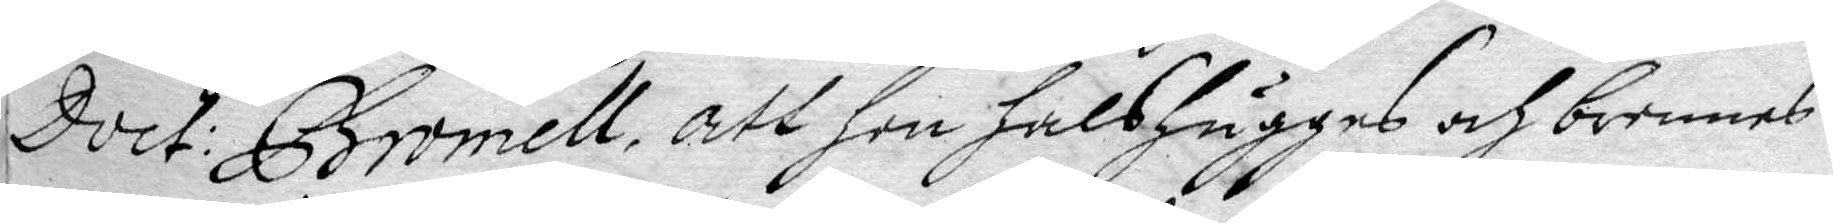Doct: Bromell, att Hon HalsHuggas och brennes.
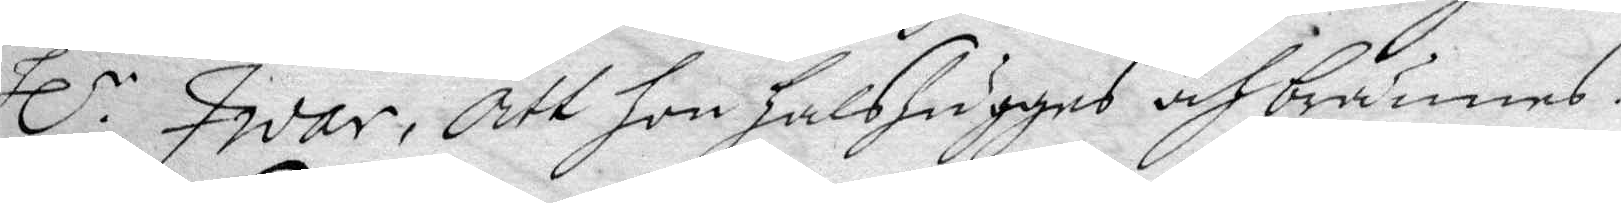Hl.r Iwar, att hon halshuggas och brännes.
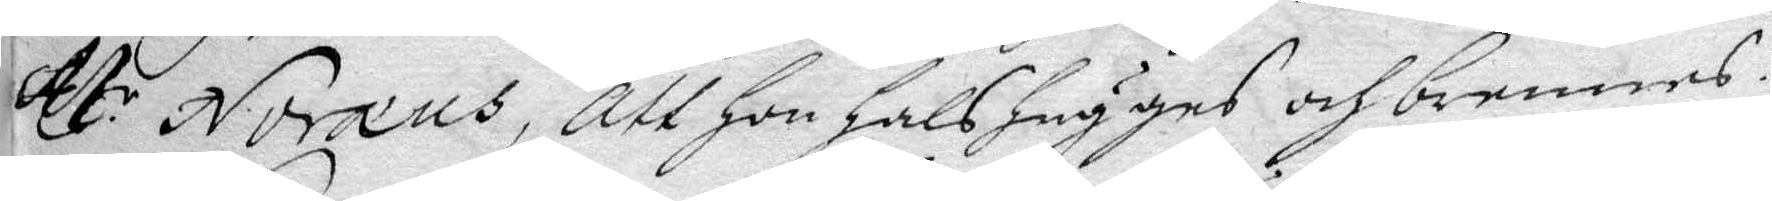M.r Noreus, att Hon Halshugges och brennes.
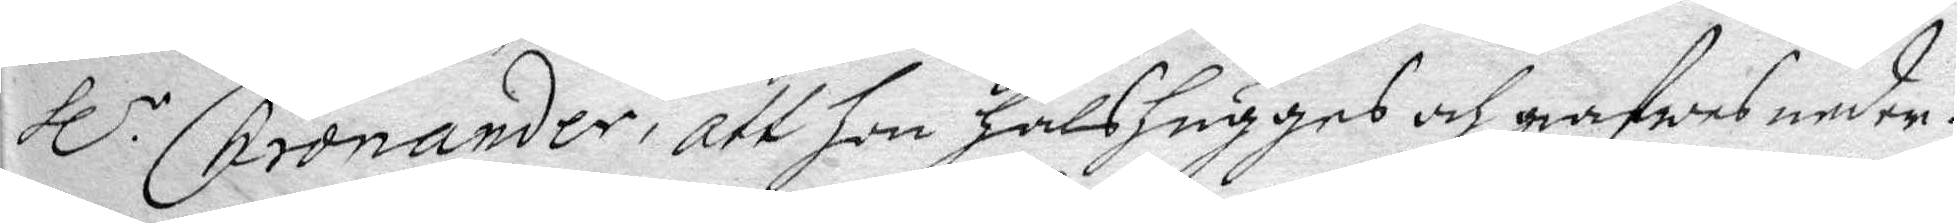Hl.r Chronander, att Hon HalsHugges och grafwes neder.
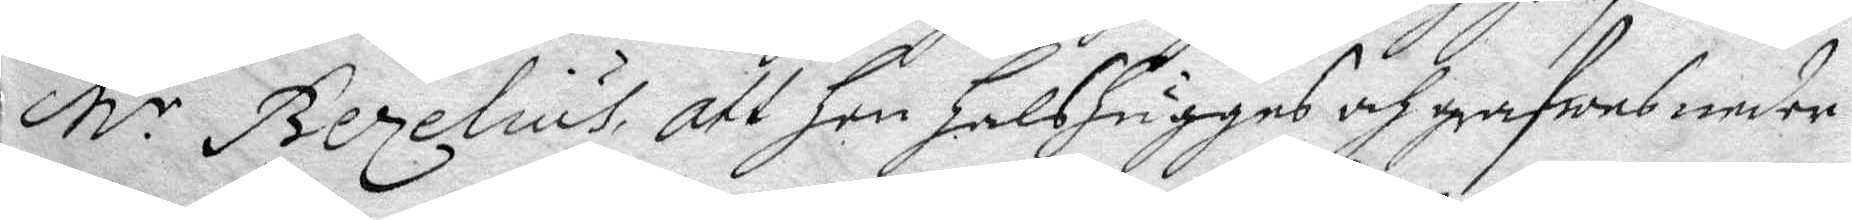M.r Bezelius, att Hon Halshugges och grafwes neder.
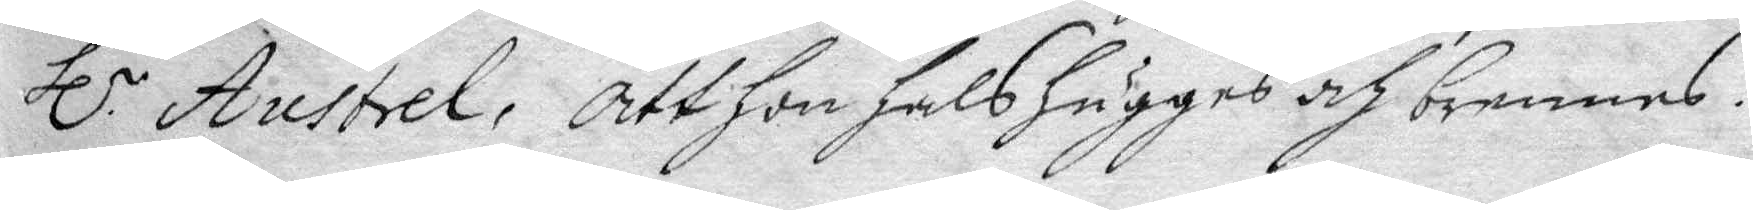Hl.r Austrel, att Hon Halshugges och brennes.
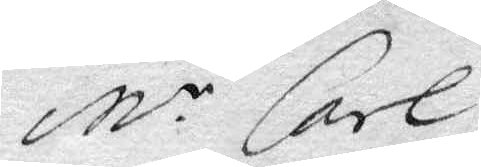M.r Carl
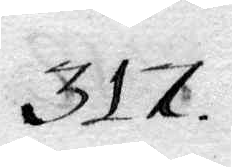317.
